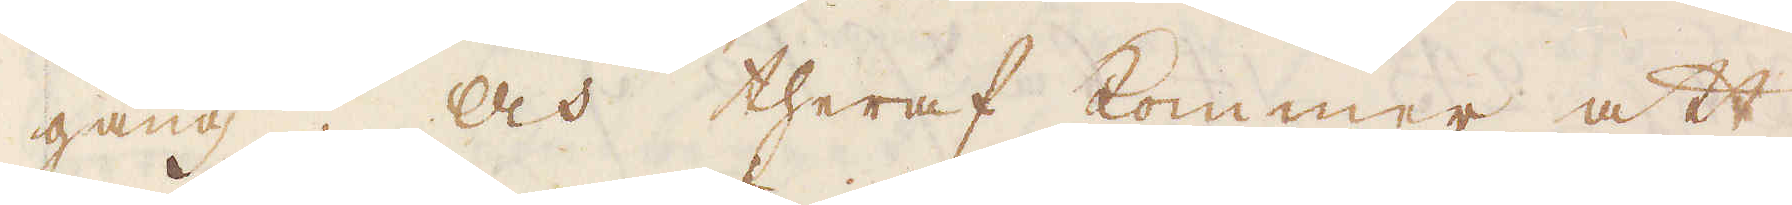gång. Och theraf kommer att
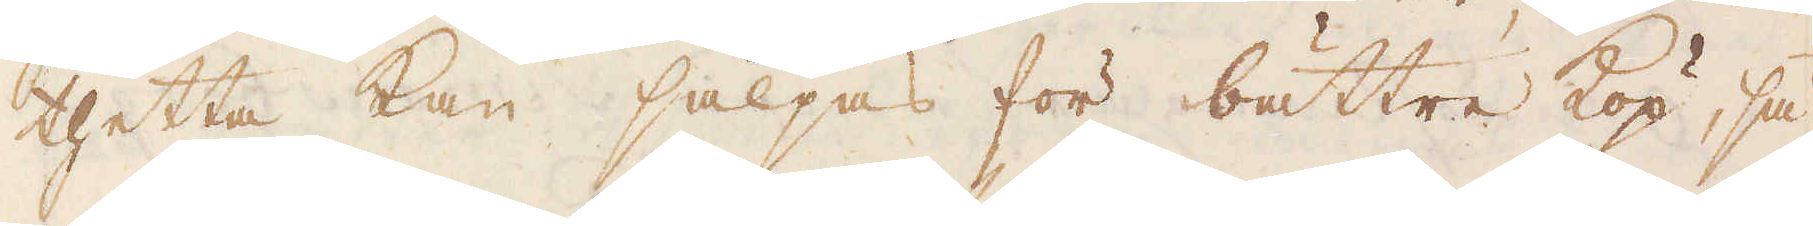thetta kan säljas för bättre köp, så
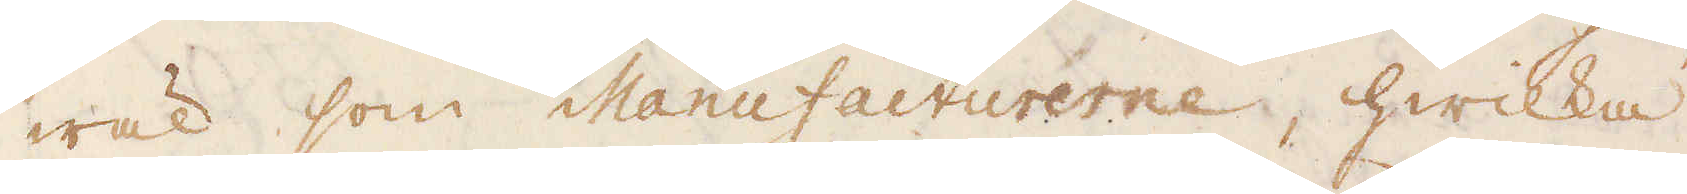wäl som Manufacturerne, hwilka
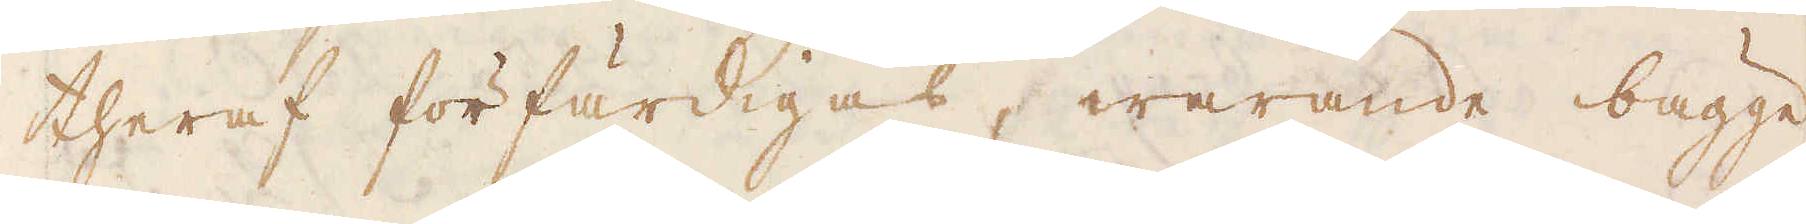theraf förfärdigas, warande bägge
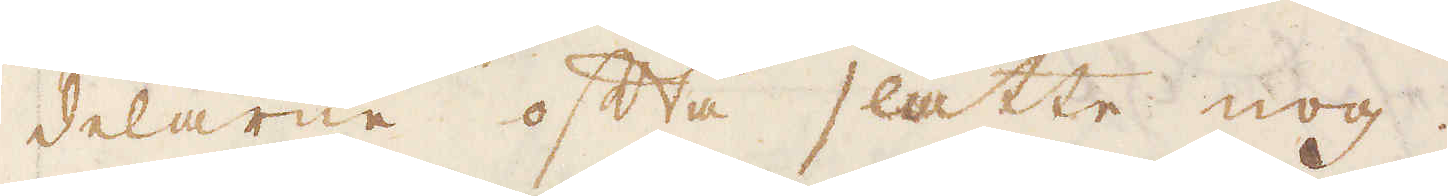delarne ofta slätte nog.
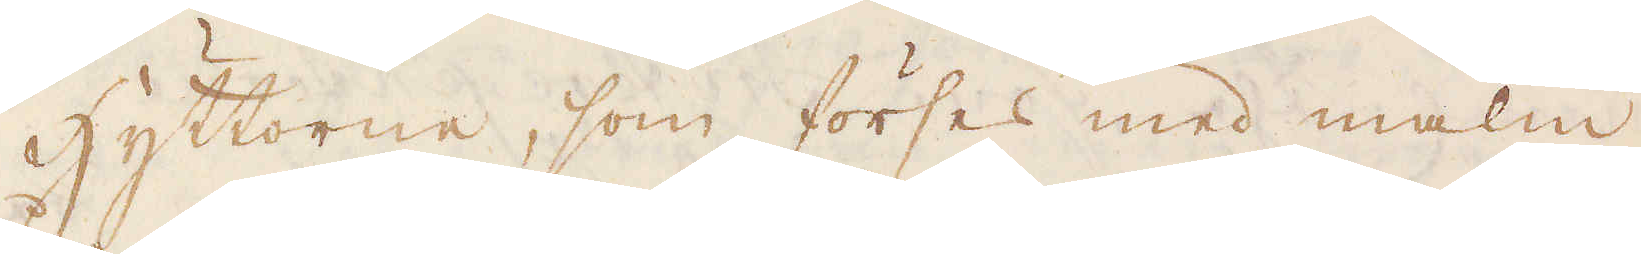Hyttorne, som förses med malm
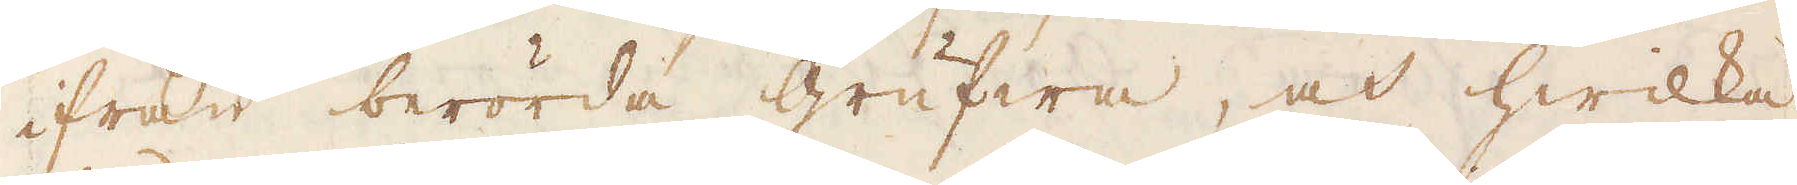ifrån berörda grufwa, och hwilka
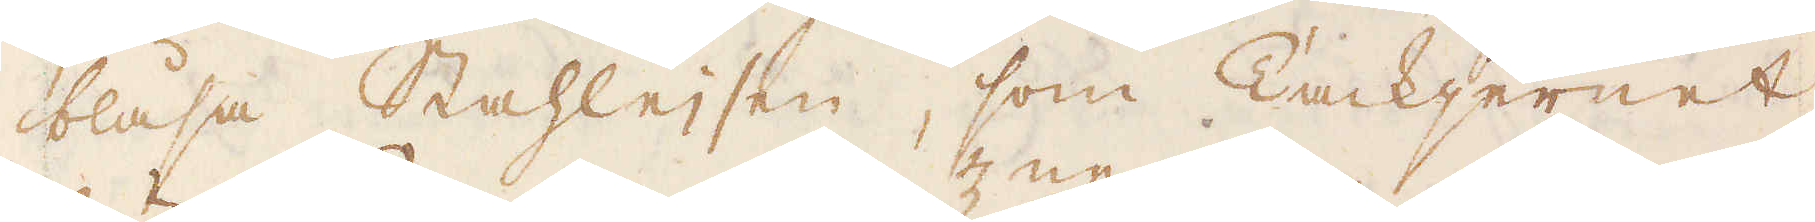blåsa Stahleisen, som Tackjernet
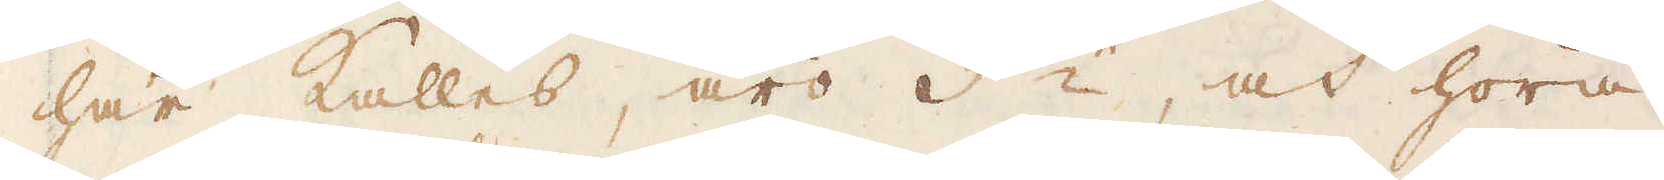här kallas, äro 3:ne, och höra
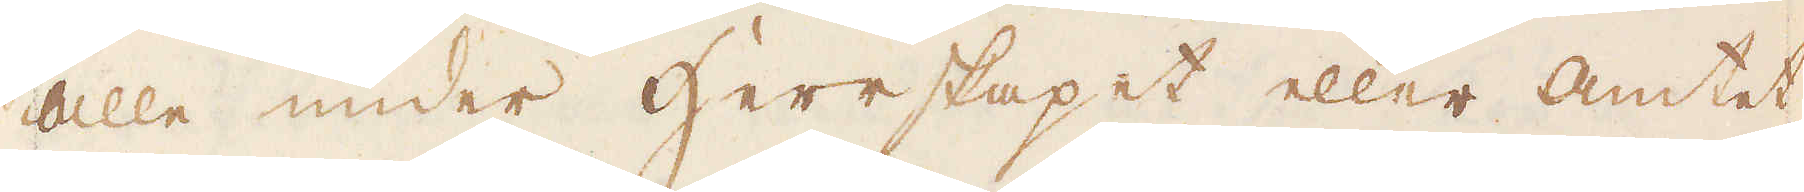alla under herrskapet eller amtet,
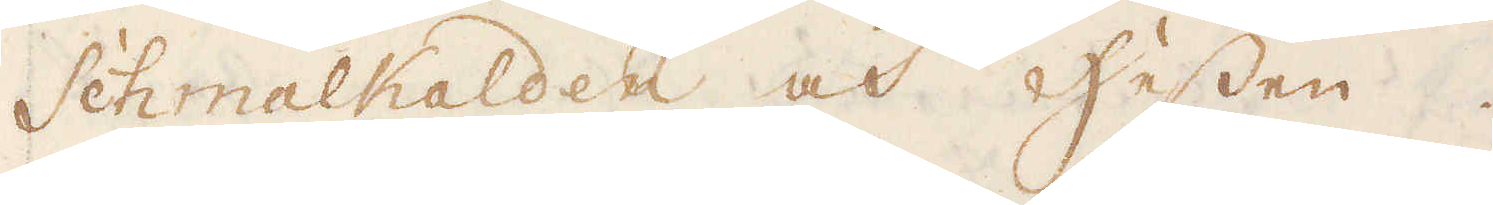Schmalkalden och Hessen.
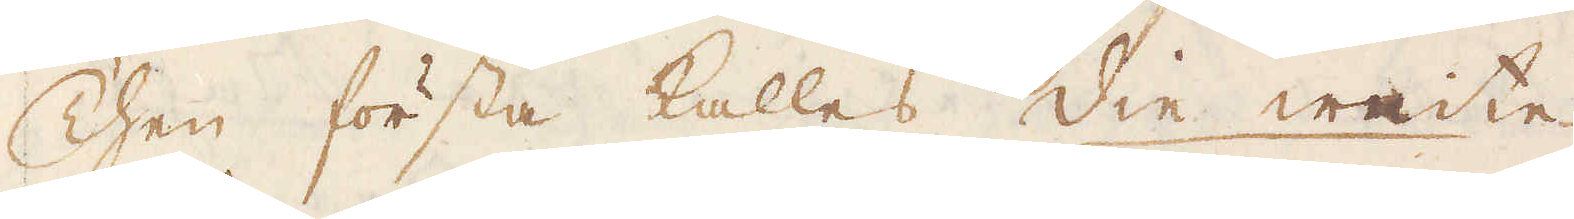Then första kallas die weite
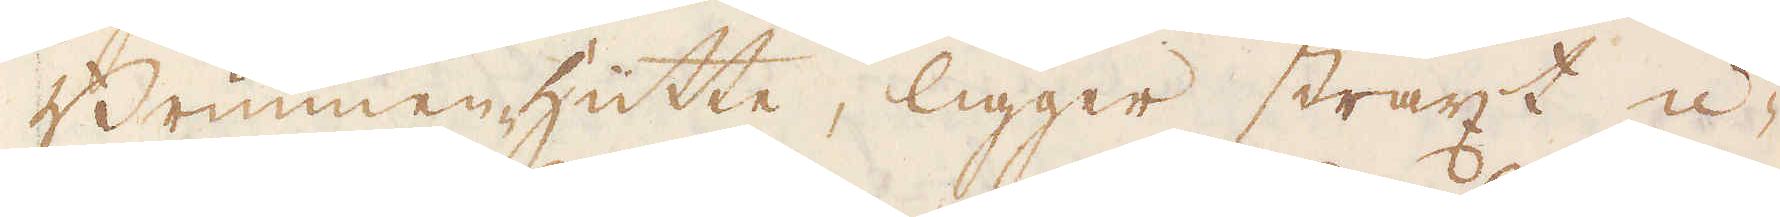Brunnenhütte, ligger straxt u-
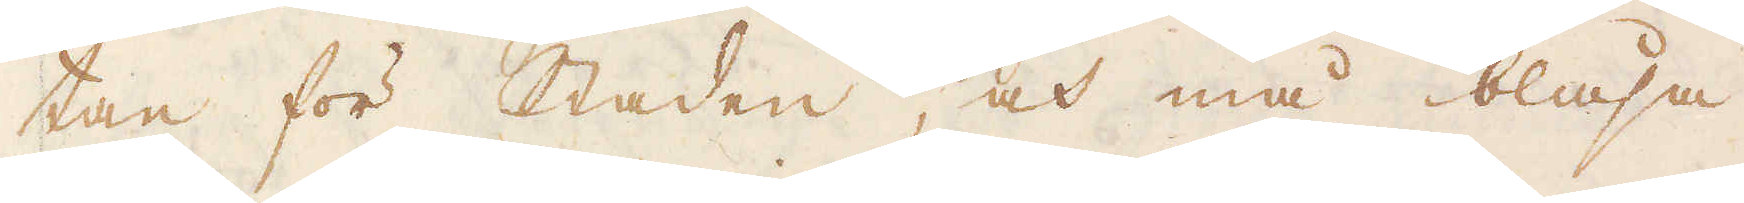tan för staden, och må blåsa
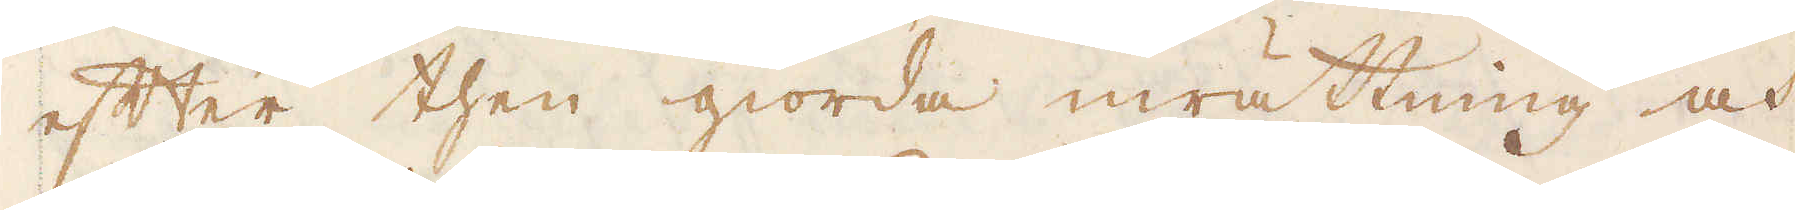efter then giorda inrättning och
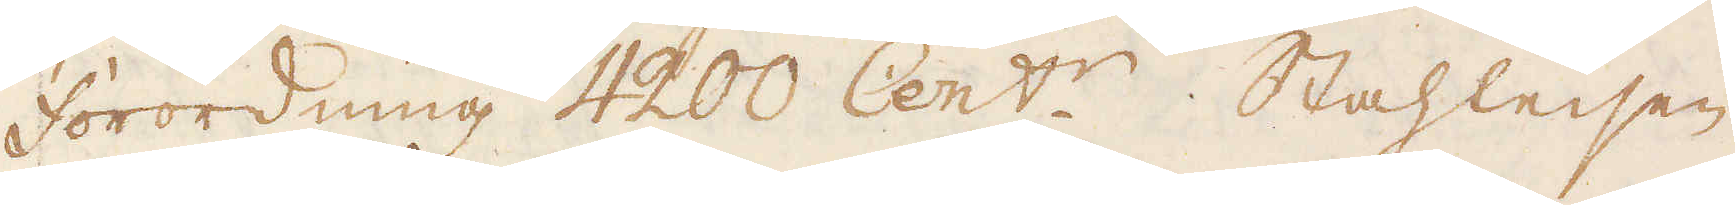förordning 4200 Cent:r. Stahleisen
